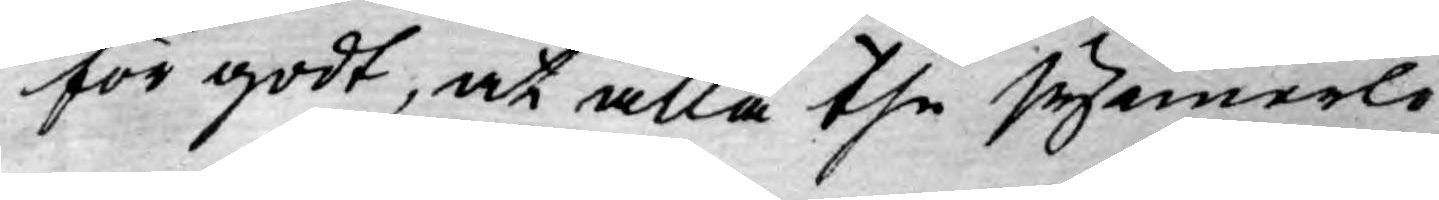för godt, at alla the synnerli¬
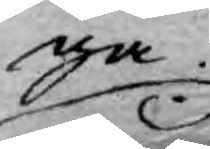ga
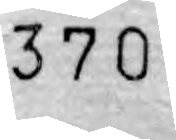370
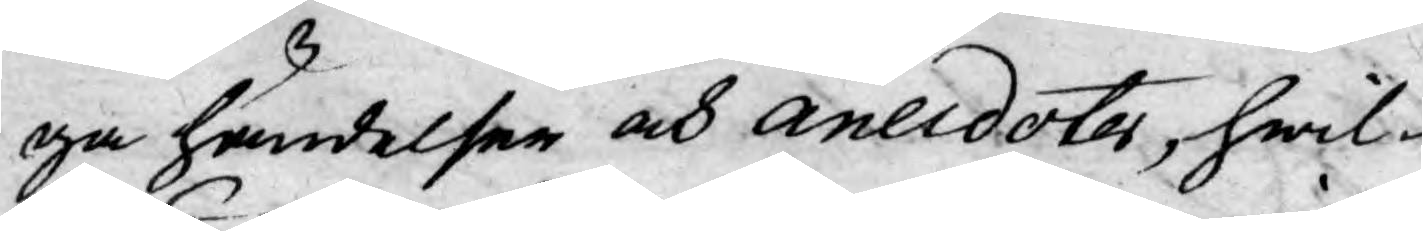ga händelser och anecdoter, hwil¬
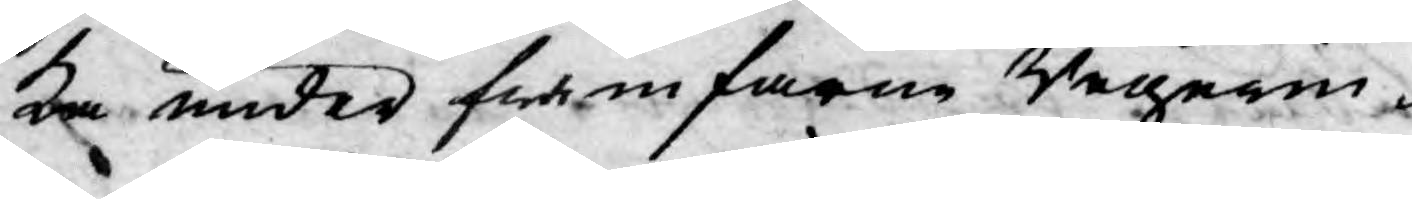ka under framfarne Regerin¬
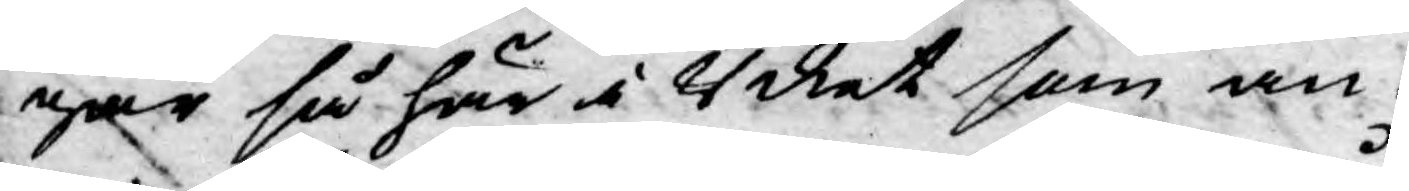gar så här i Riket som an¬
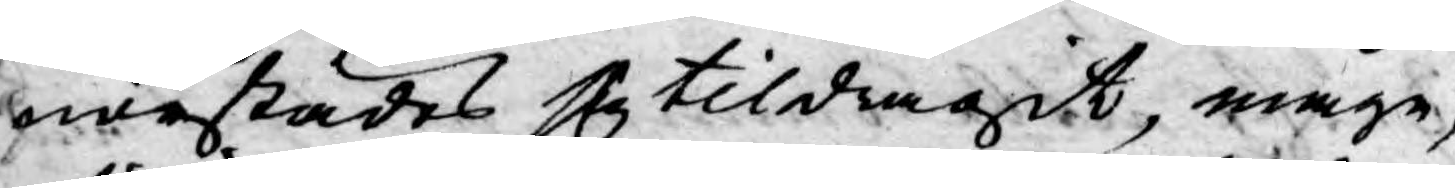norstädes sig tildragit, någre,
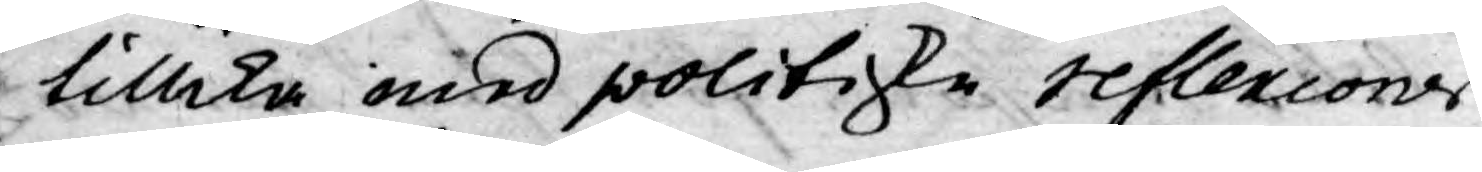tillika med politiske reflexions
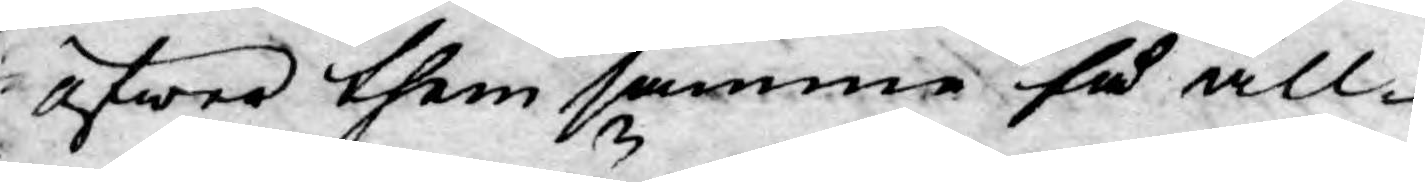öfwer them samma så all¬
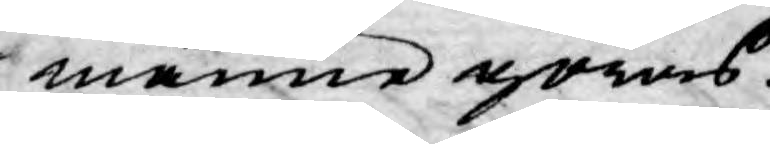männe göras.
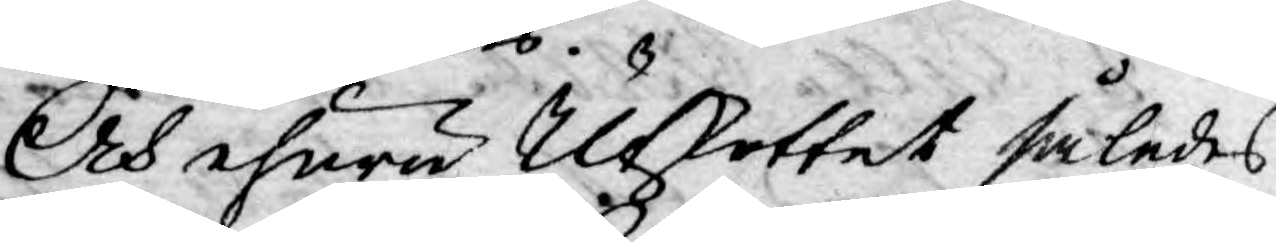Och ehuru Utkottet således
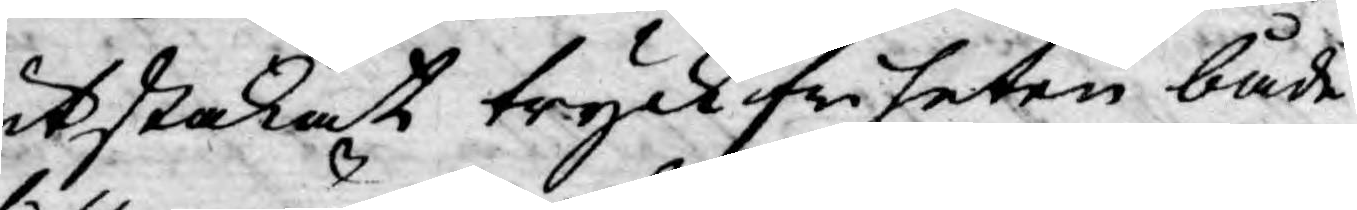utstakat tryckfriheten både
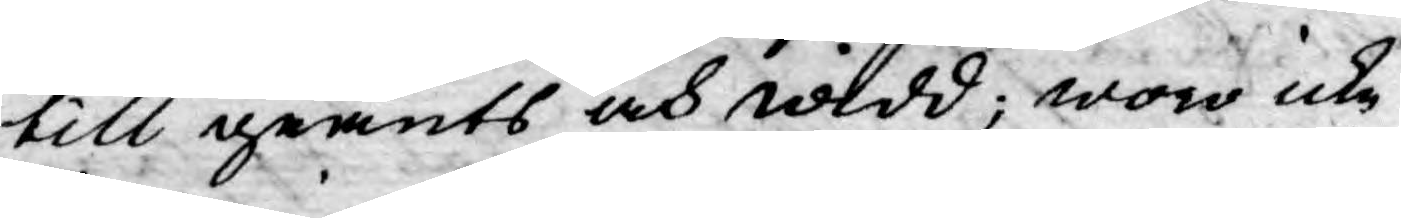till grunts och widd; woro icke
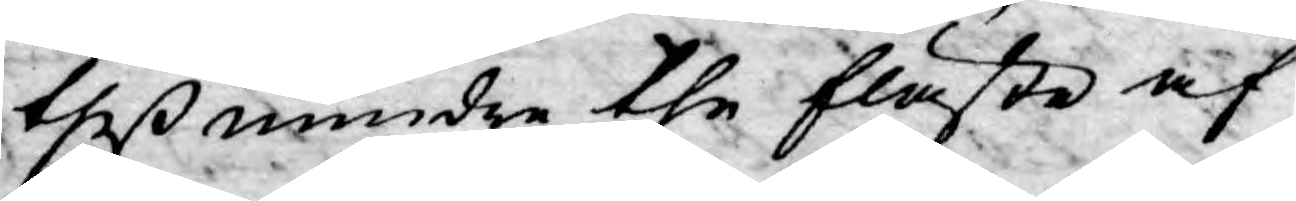theß mindre the fläste af
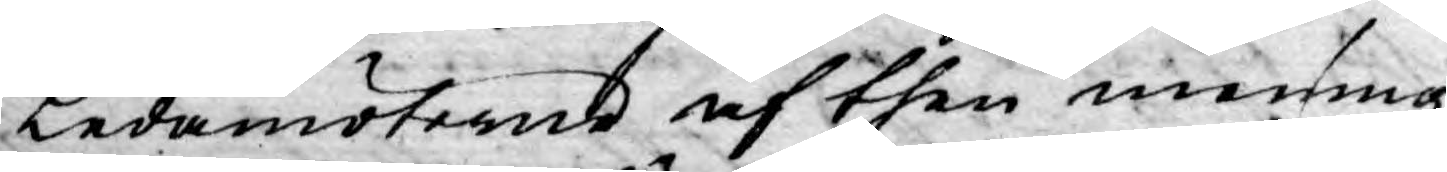Ledamöterne af then mening,
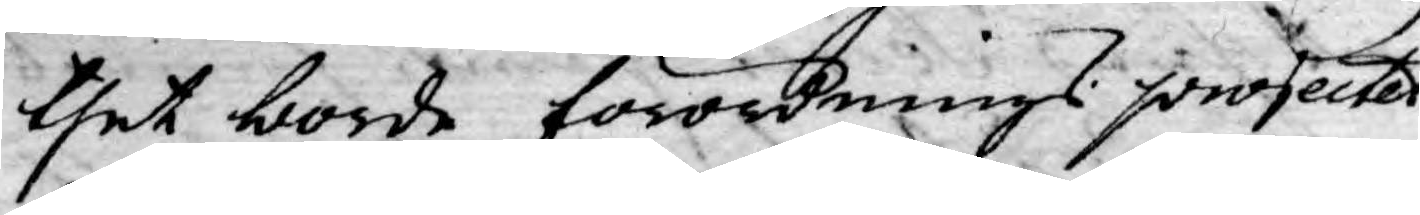thet borde förordnings projectet
